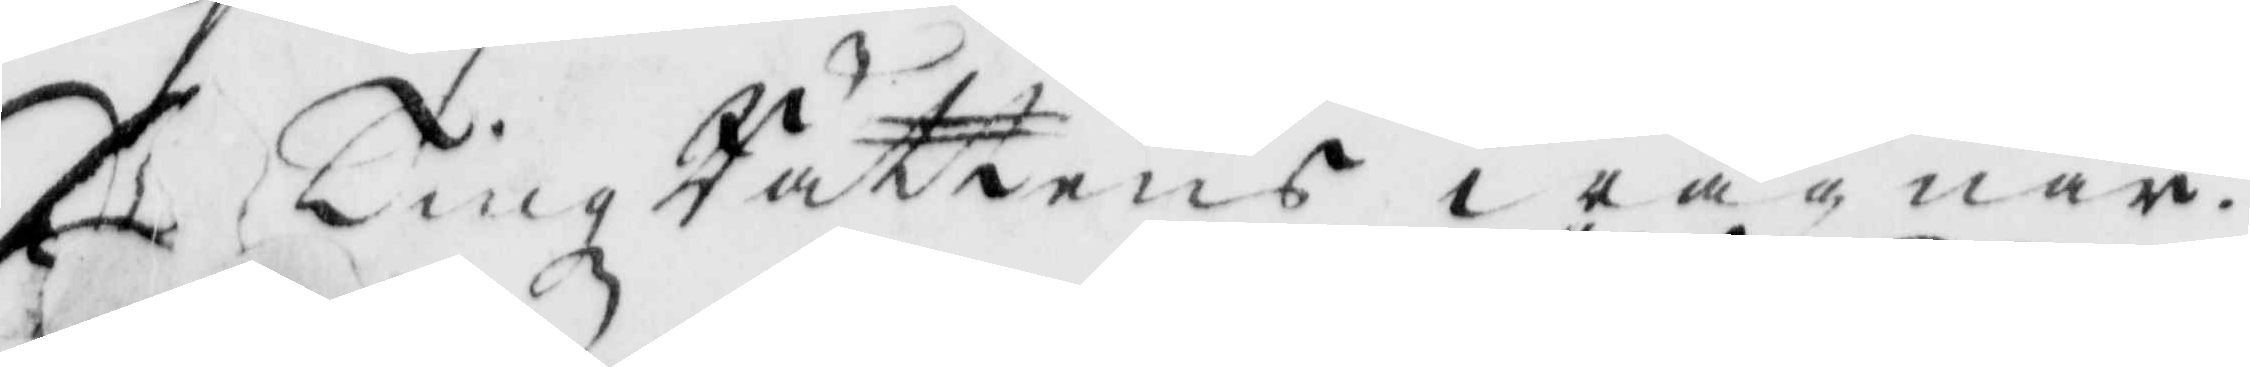På TingzRättens wägnar.
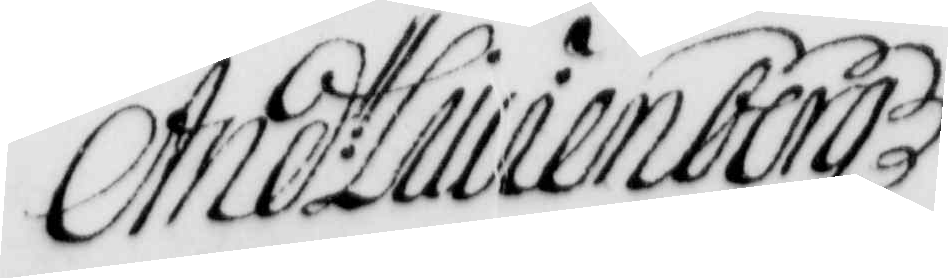And: Liuienberg
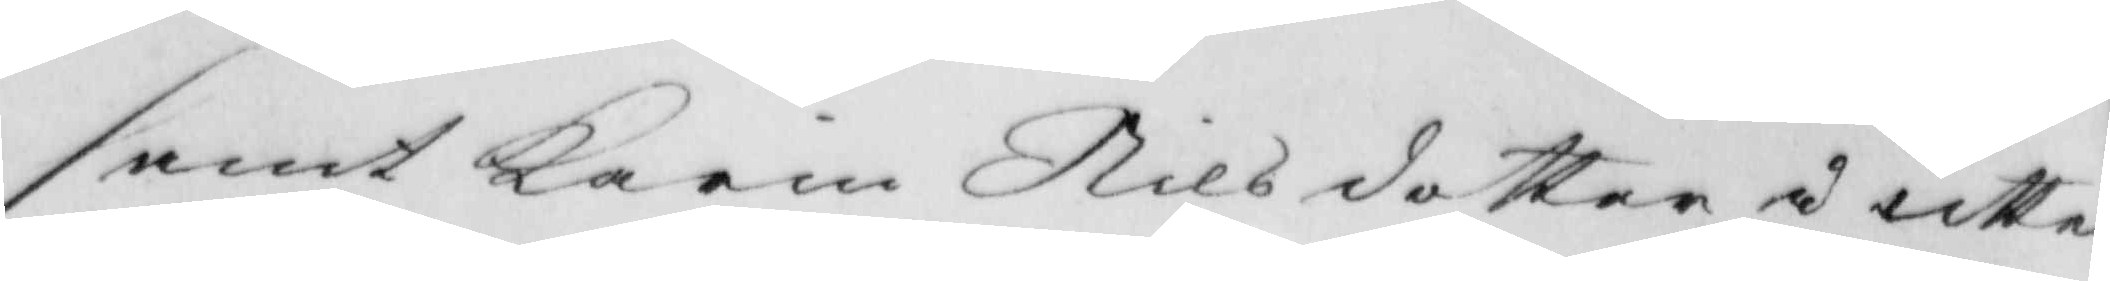samt Karin Nilsdotter i utter¬
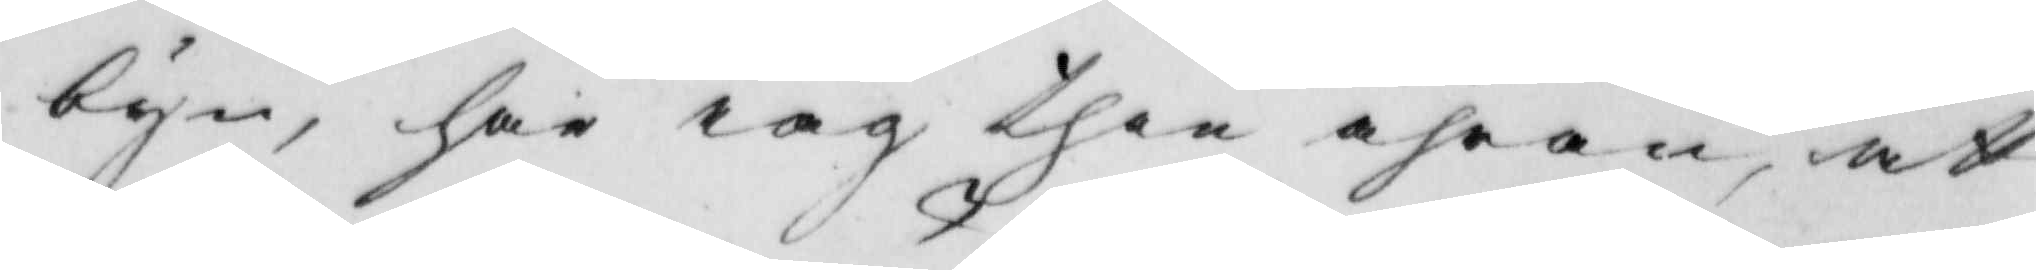byn, har iag then ähran, att
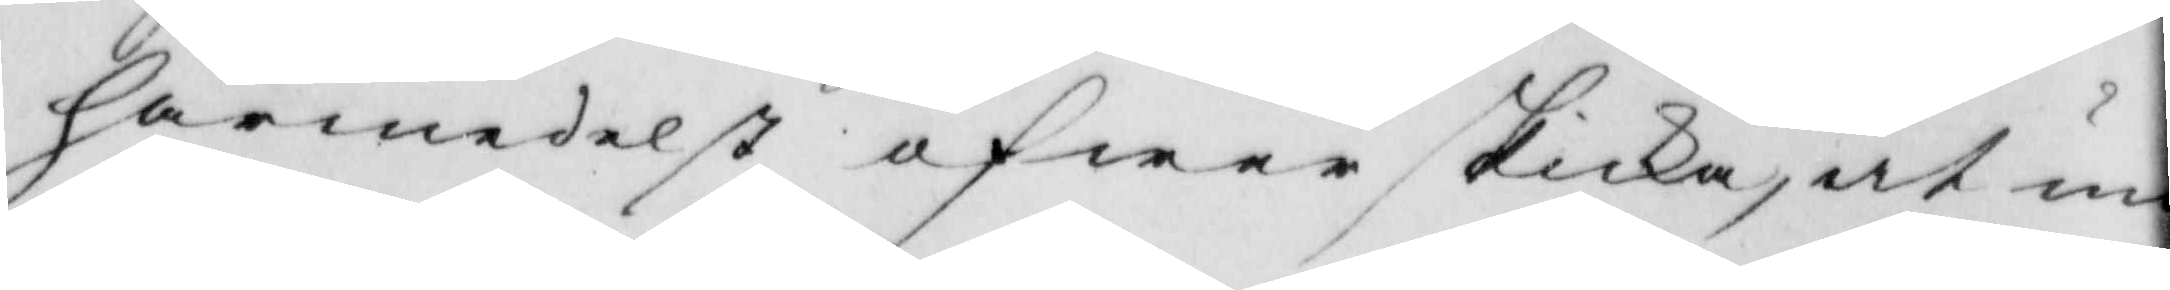härmedelst äfwen skicka, at un¬
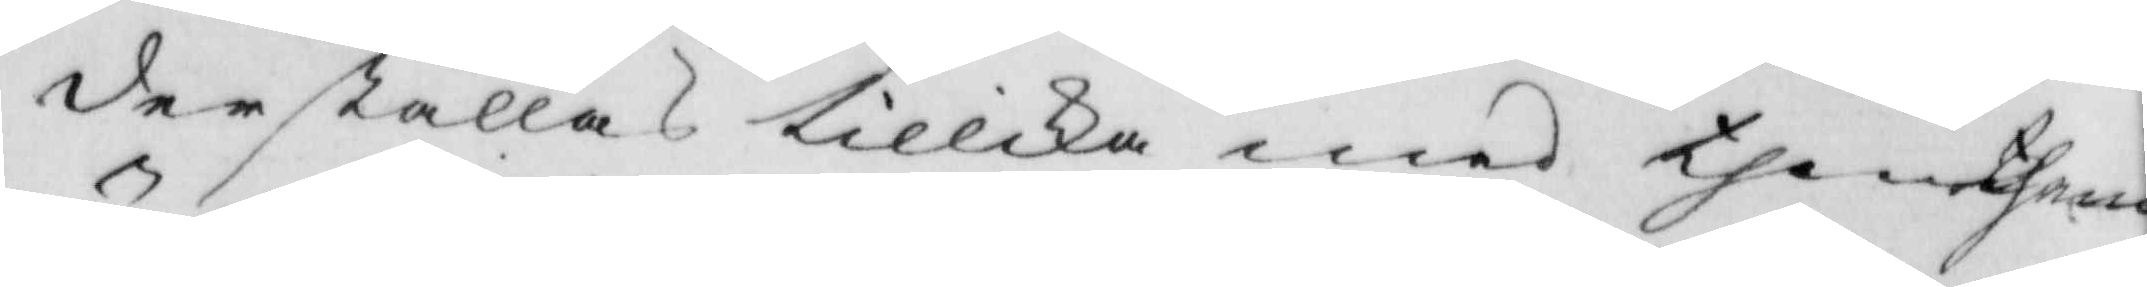derställas tillika med them them
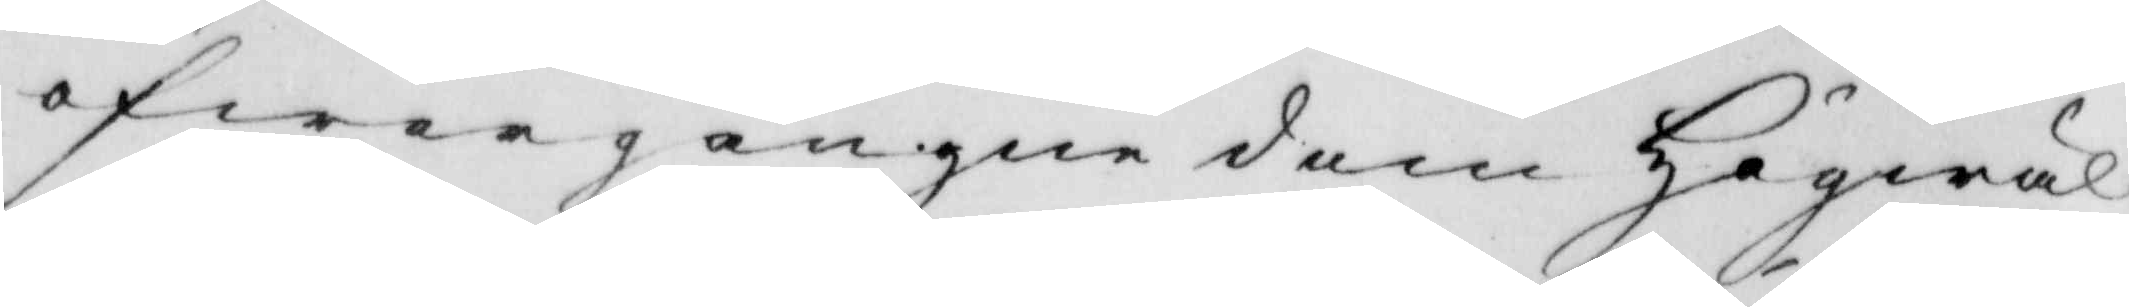öfwergångne dom Högwäl¬
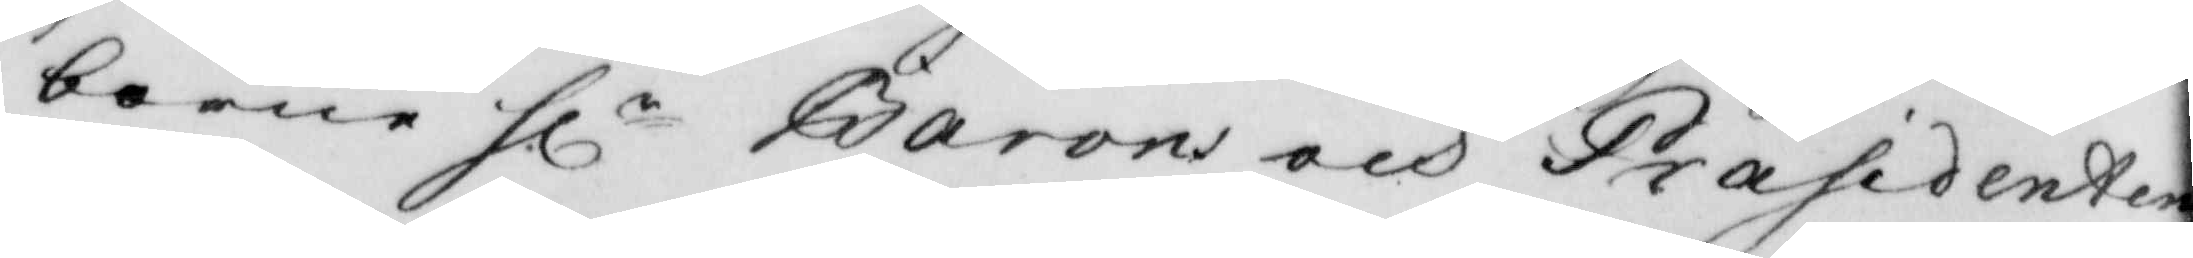borne hlr Baron och Præsidenten
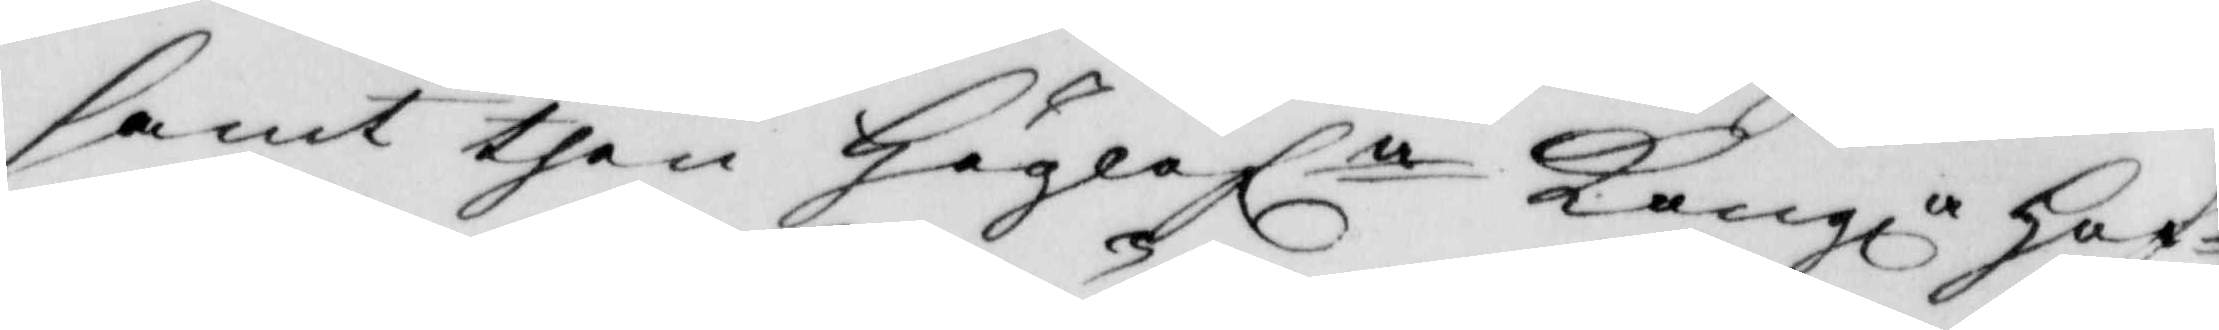samt then Höglofla Kongl. Hof¬
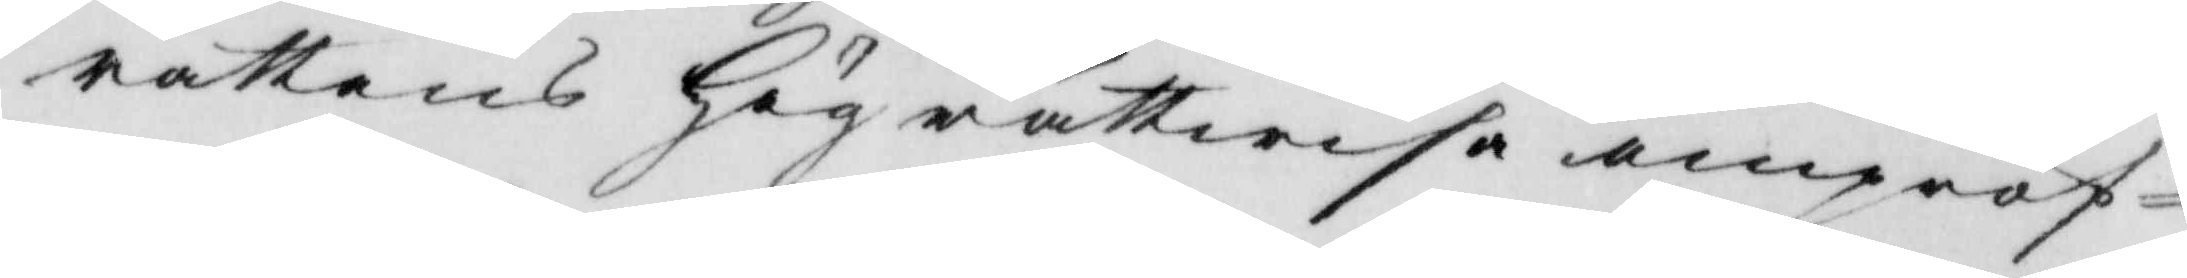rättens Högrättwisa ompröf¬
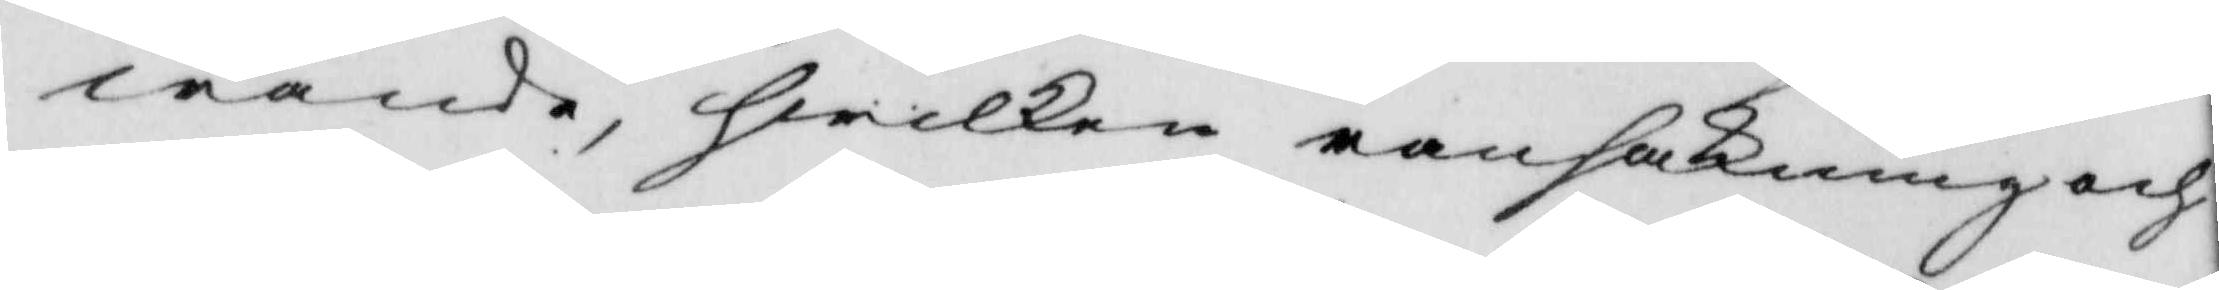wande, heilken ransakning och
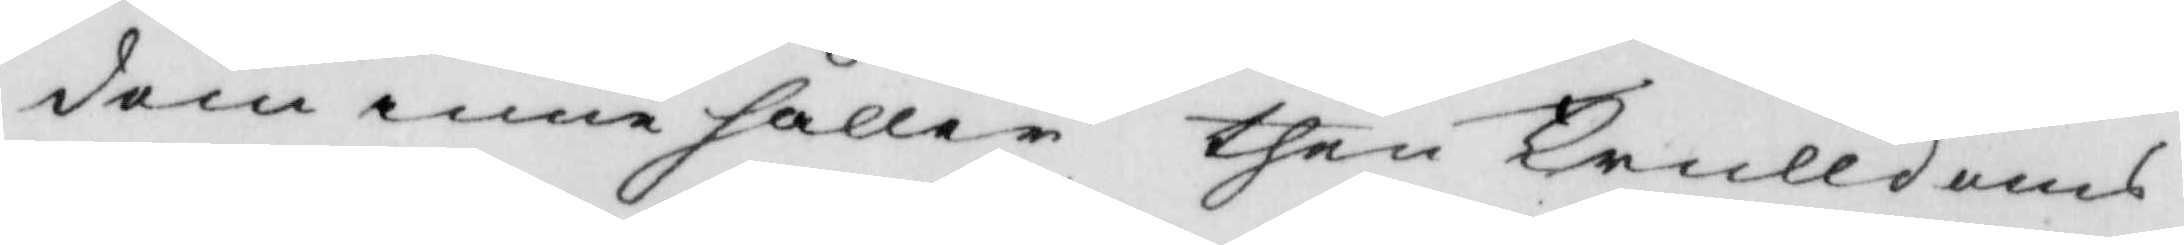dom innehåller then Trulldoms
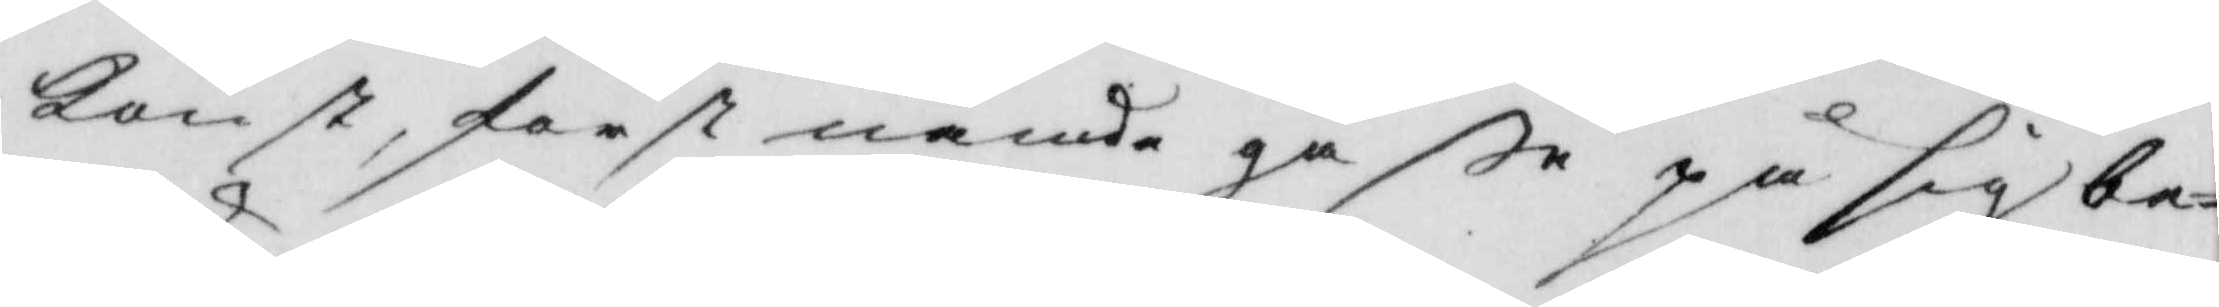konst, först nämde gåße på sig be¬
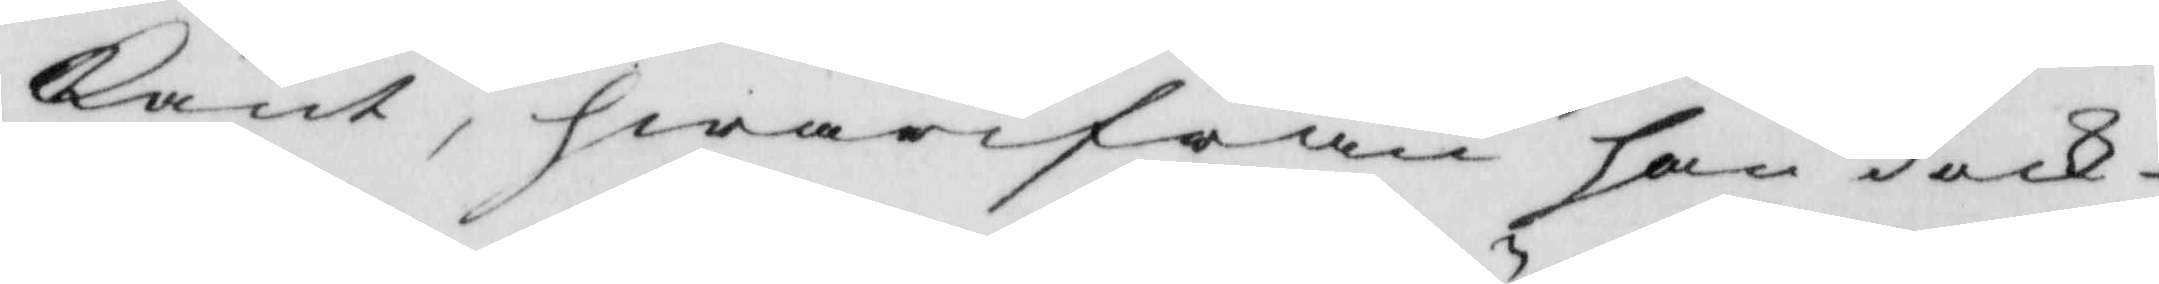känt, hwarifrån han dock
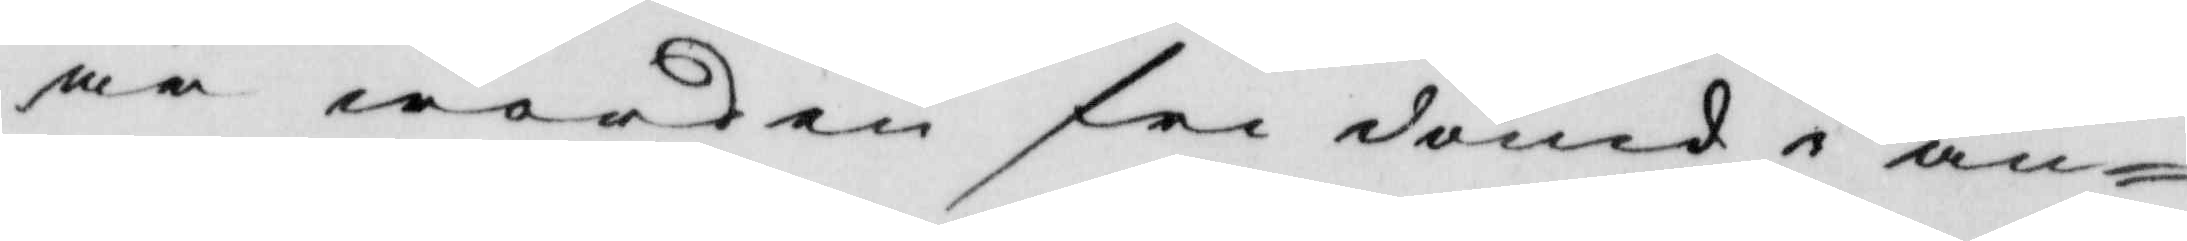är worden fri dömd i an¬
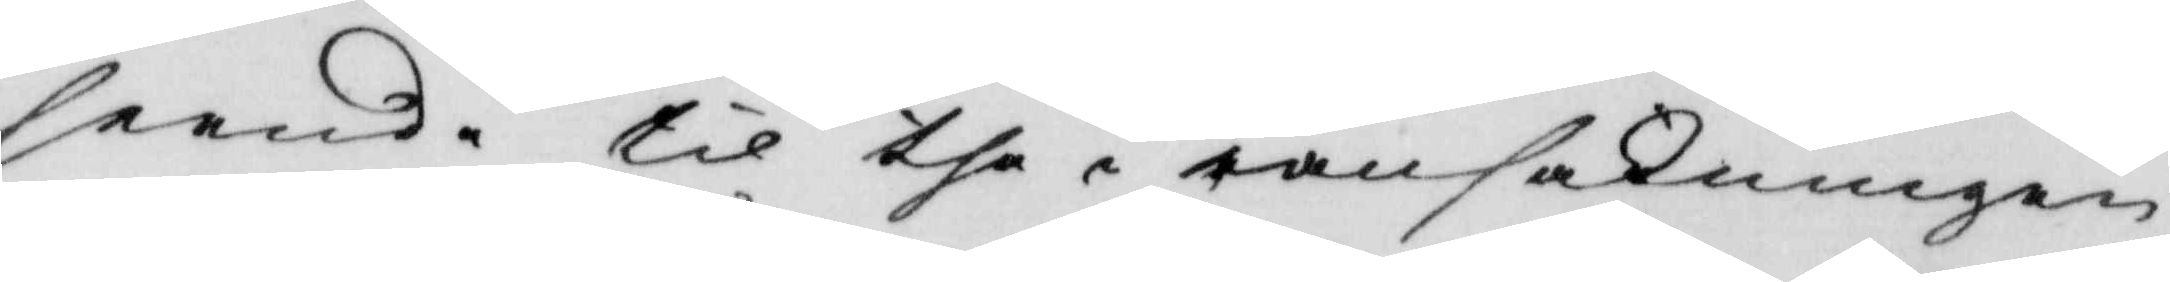seende til the i ransakningen
